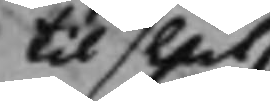til slut
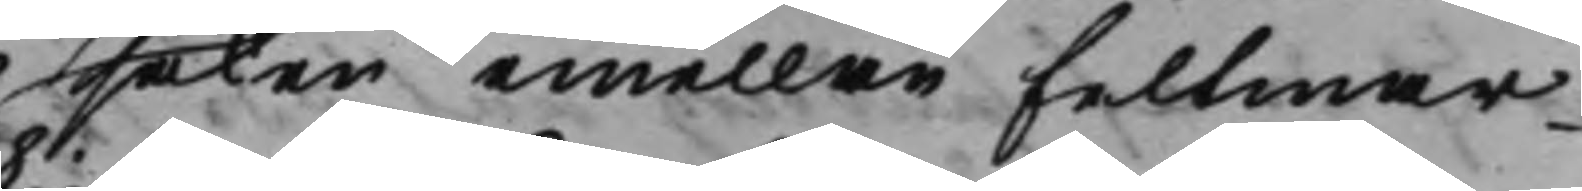saken emellan feltmar¬
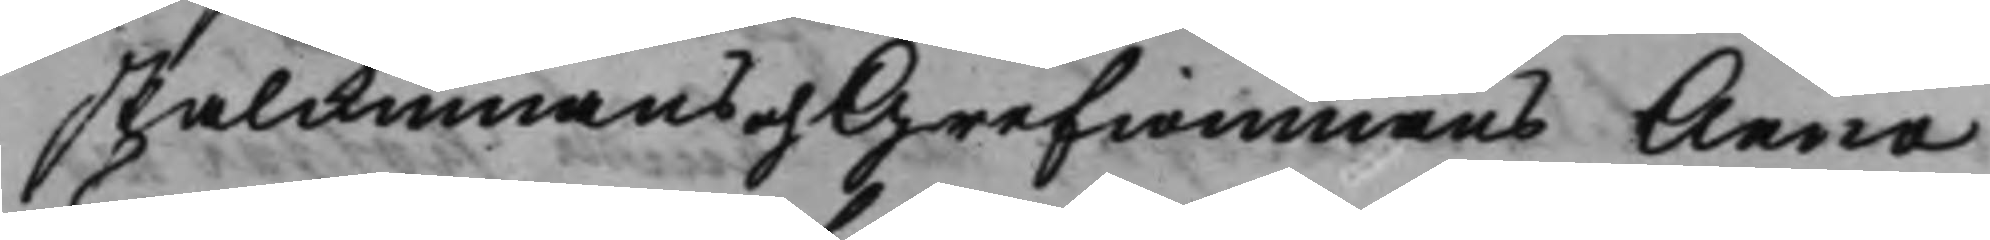skalkinnans och Grewinnans Anna
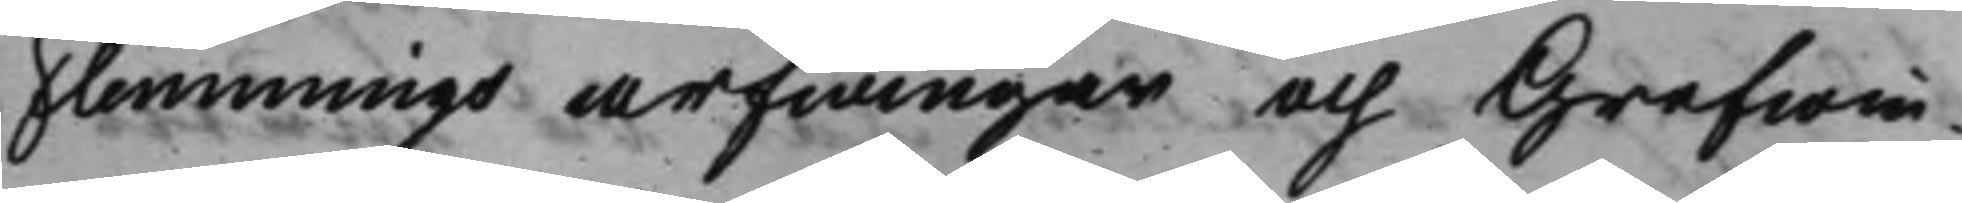Flemmings arfwingar och Grefwin¬
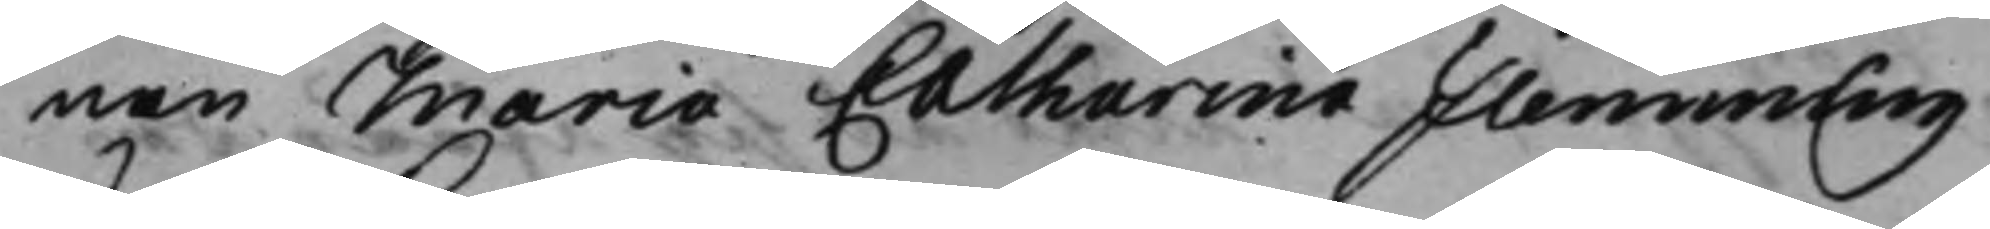nan Maria Catharina Flemming
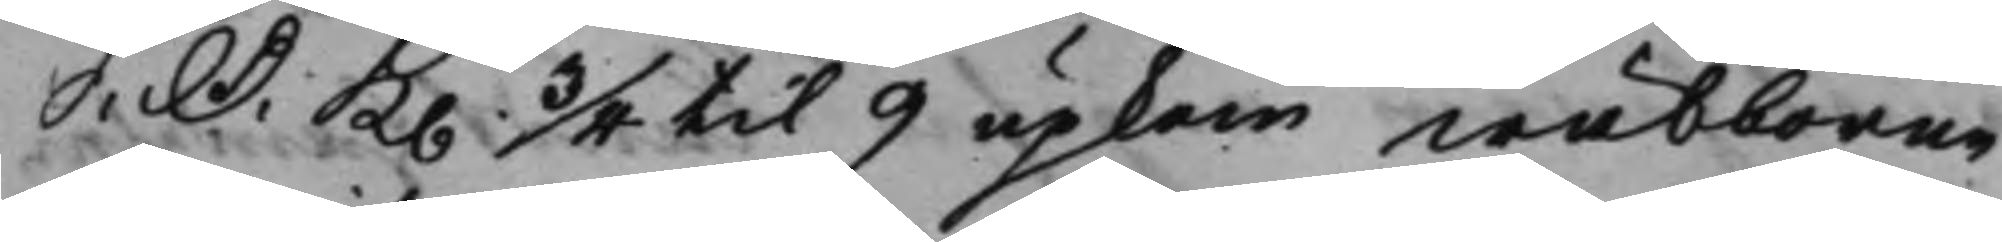S: D: K. 3/4 til 9 upkom wälborne-
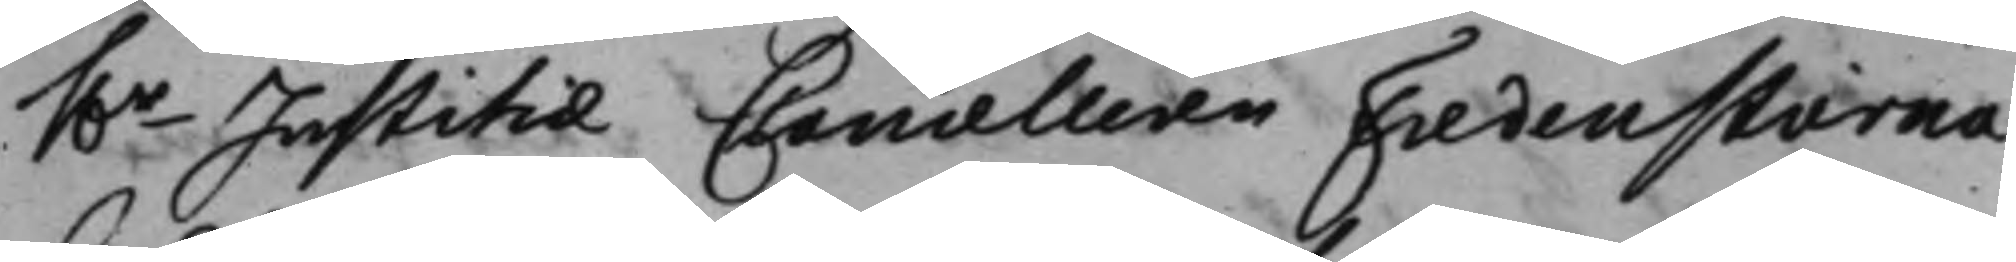h.r Justitiae Cancelleren Fredenstierna
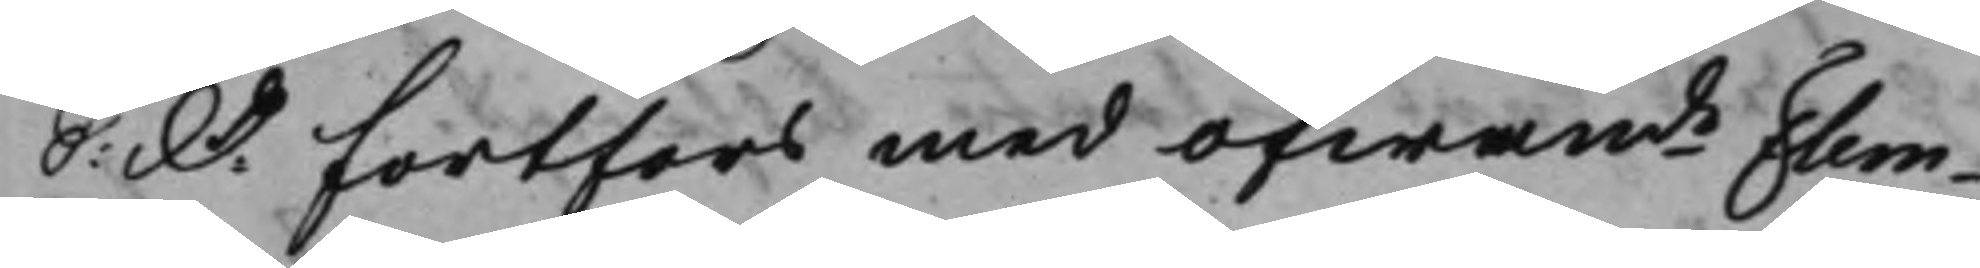S: D: Fortfors med ofwande Flem¬
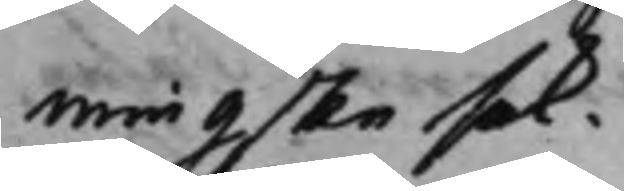mingske sak.
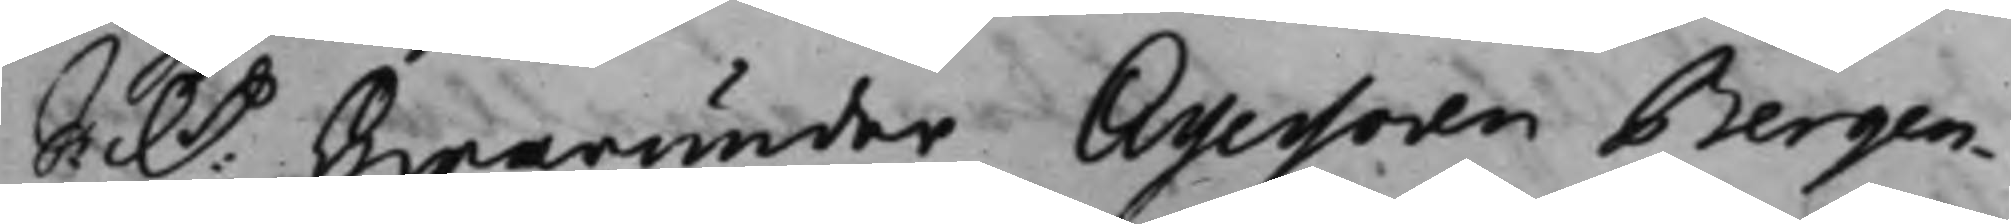S: D: Hwarunder Assessoren Bergen¬
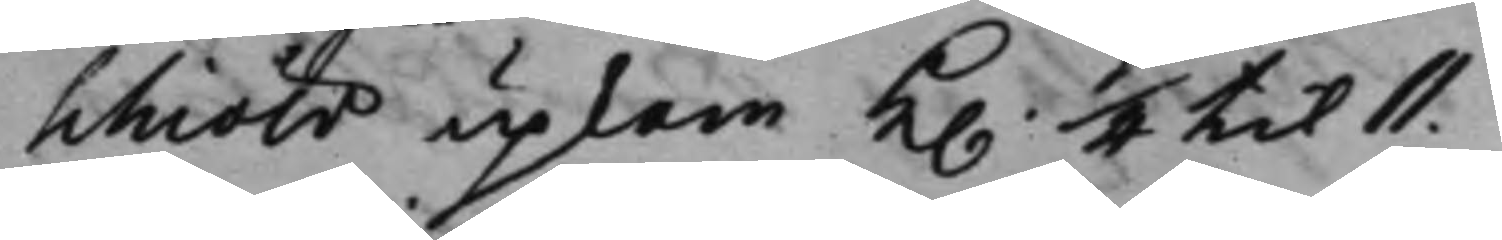schiöld upkom K. 1/4 til 11.
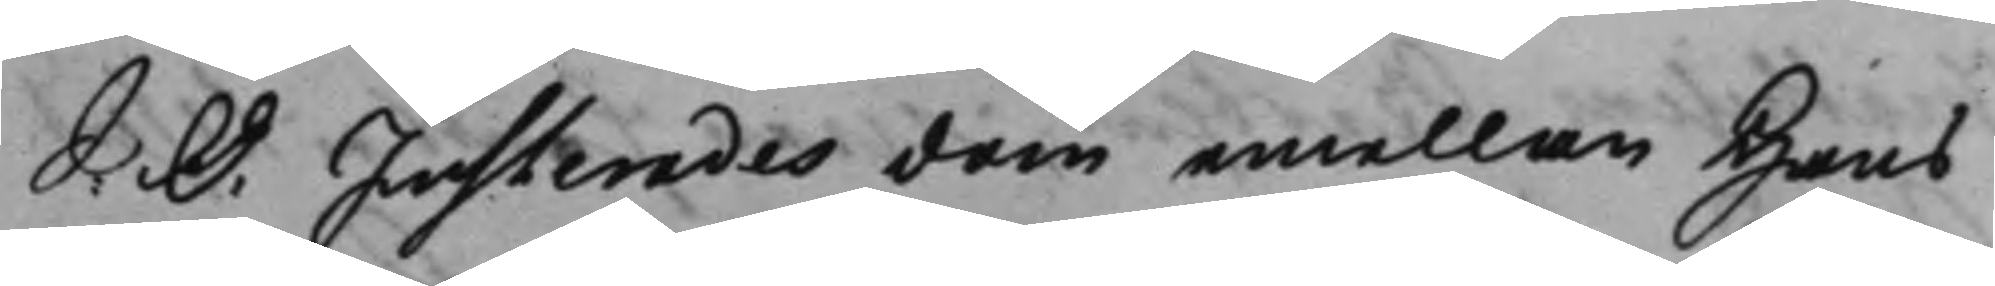S: D: Justerades dom emellan Hans
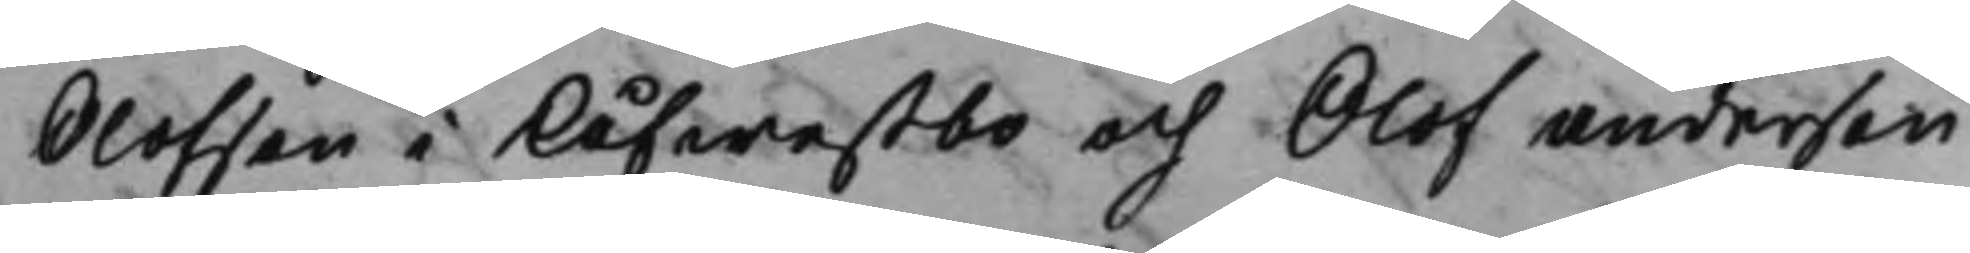Olofsson i Kåfwestbo och Olof Andersson
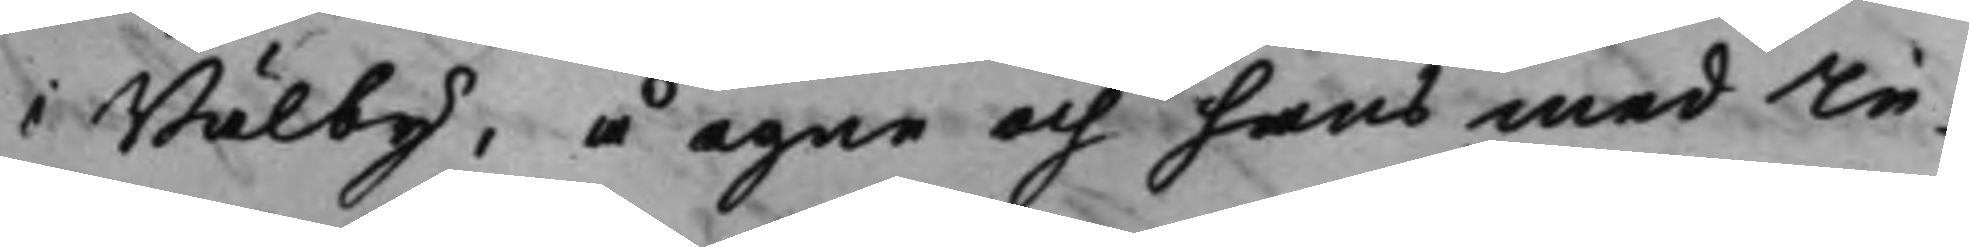i Bälby, å egne och hans medIn¬
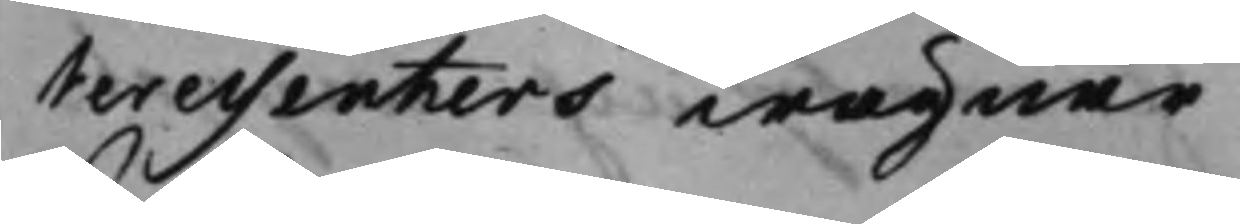teressenters wägnar
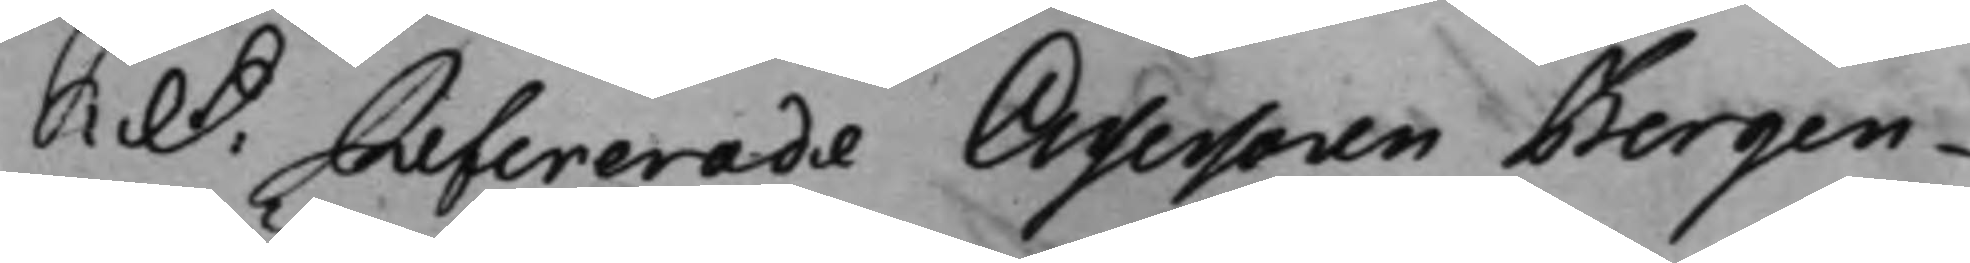S: D: Refererade Assessoren Bergen¬
